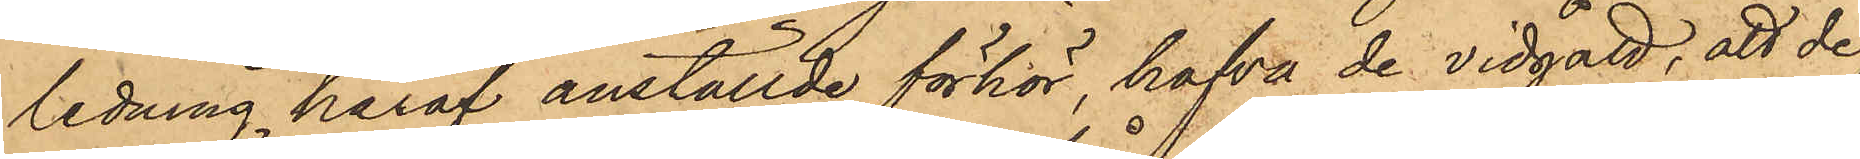ledning häraf anställde förhör, hafva de vidgått, att de
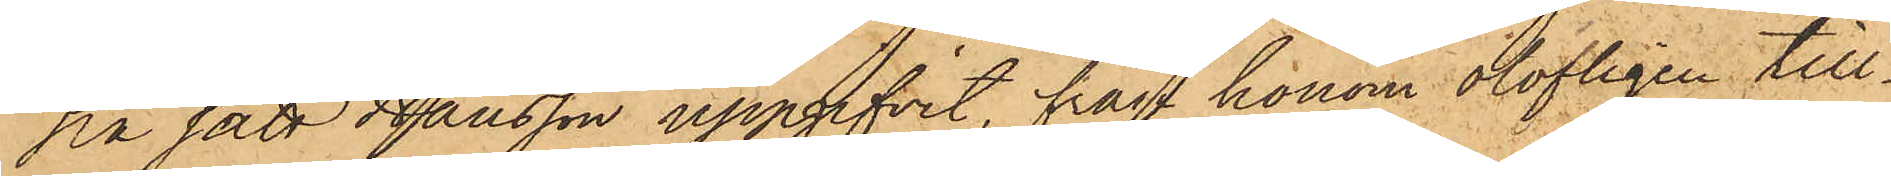på sätt Hansson uppgifvit, från honom olofligen till¬
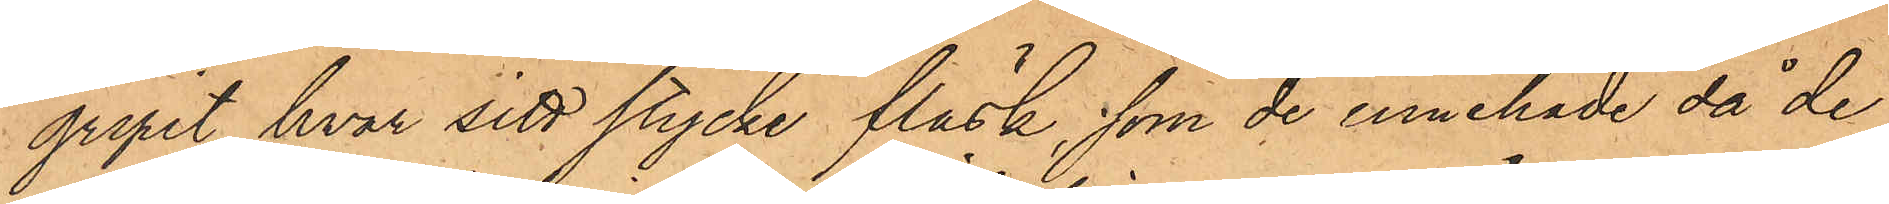gripit hvar sitt stycke fläsk, som de innehade, då de
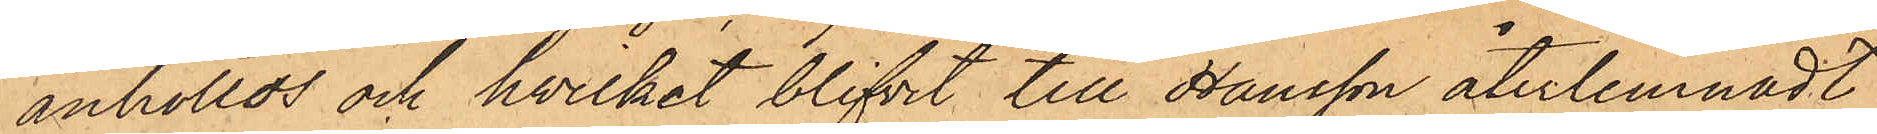anhöllos och hvilket blifvit till Hansson återlemnadt.
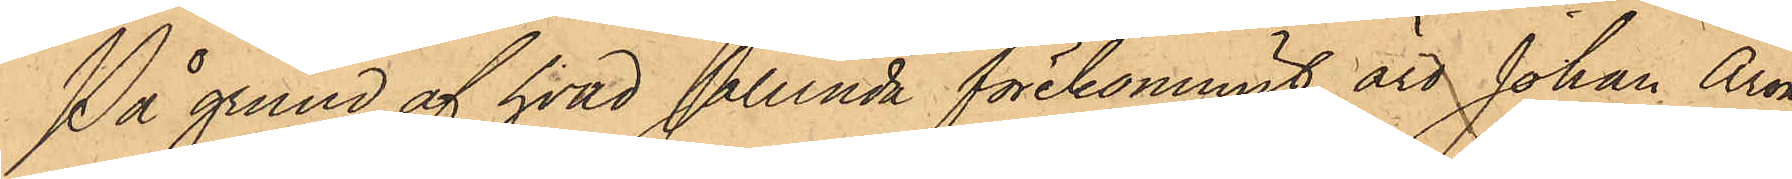På grund af hvad sålunda förekommit, äro Johan Aron
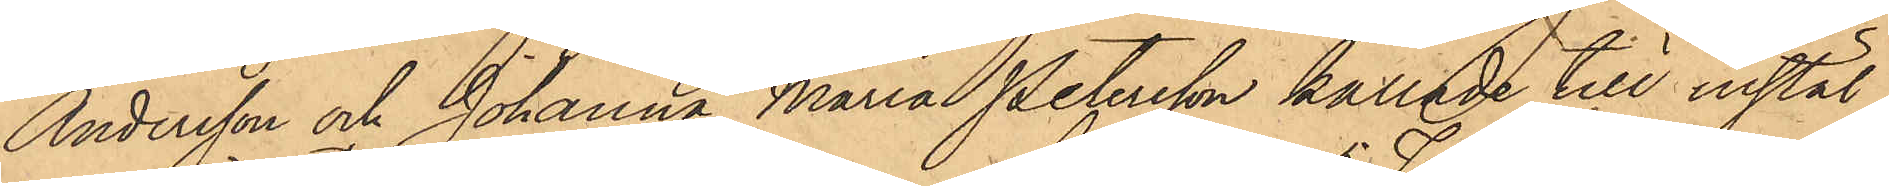Andersson och Johanna Maria Petersson kallade till instäl¬
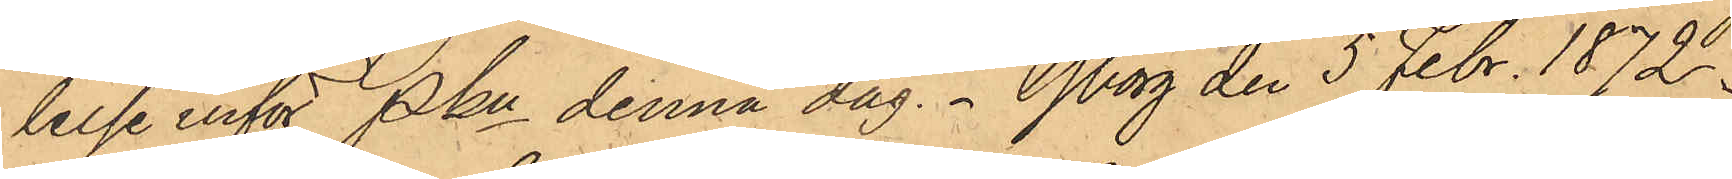lelse inför Pkn denna dag. Gborg den 5 Febr. 1872.
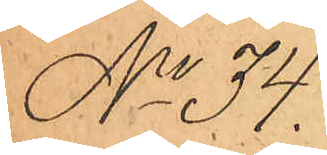No 34.
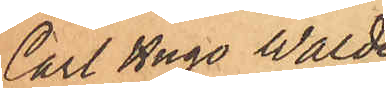Carl Hugo Walde¬
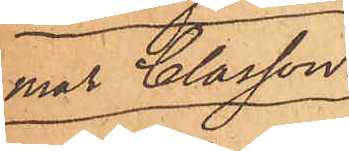mar Classon.
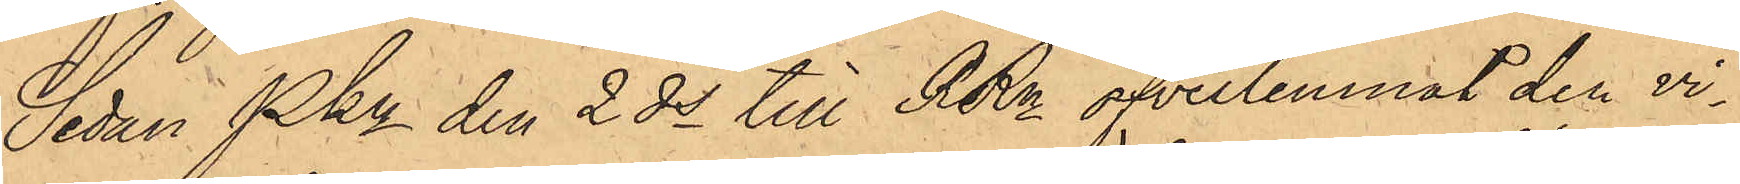Sedan Pkn den 2 ds till RRn öfverlemnat den vi¬
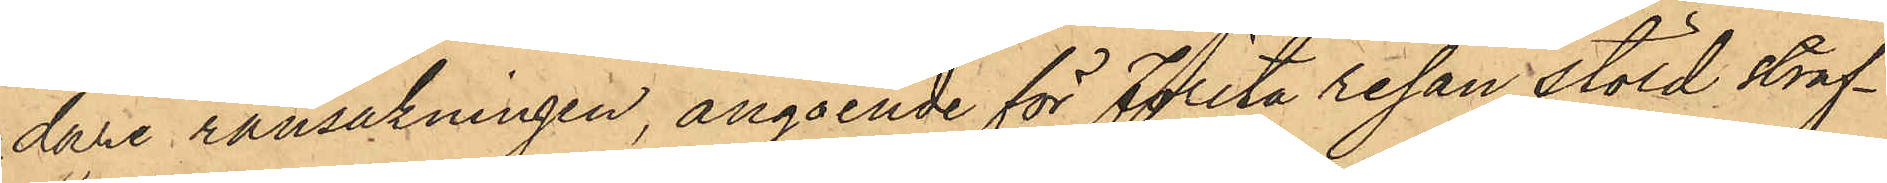dare ransakningen, angående för Första resan stöld straf¬
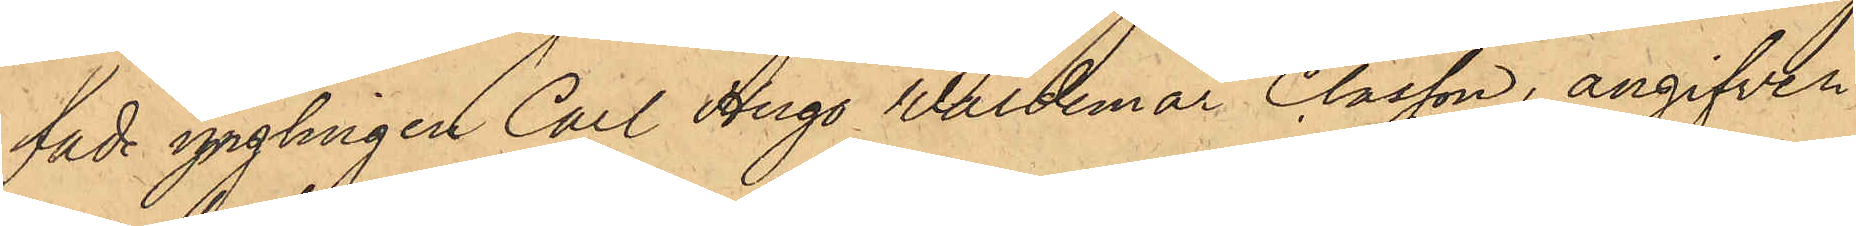fade ynglingen Carl Hugo Waldemar Classon, angifven
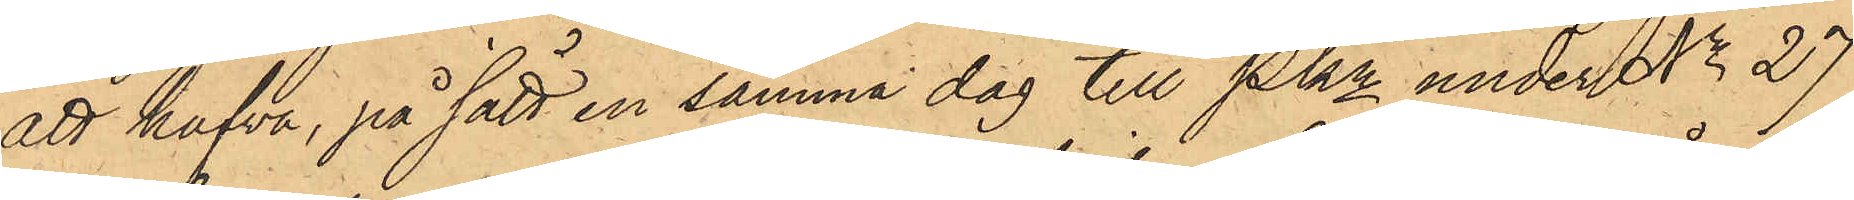att hafva, på sätt en samma dag till Pkn under No 27
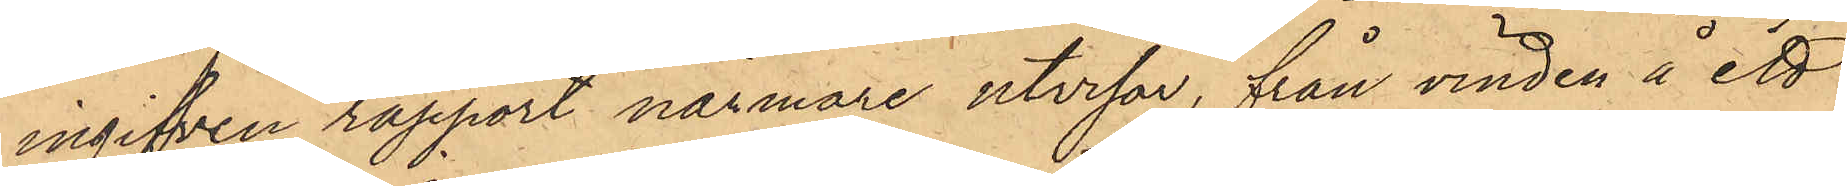ingifven rapport närmare utvisar, från vinden å ett
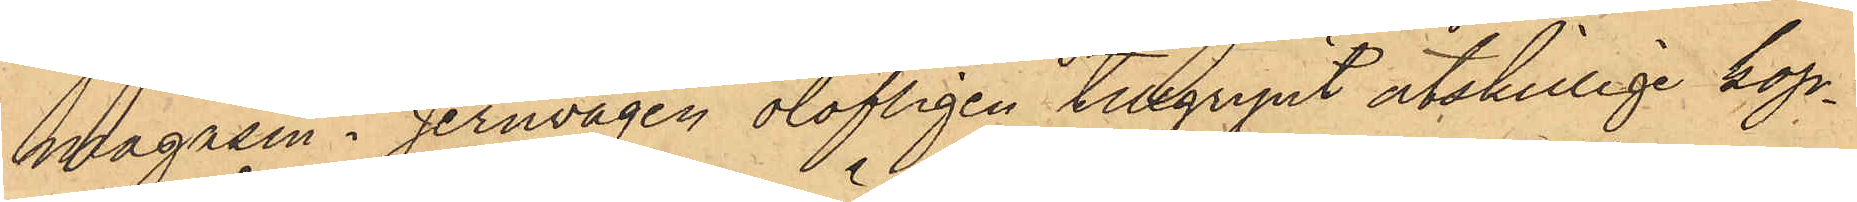magasin i Jernvågen olofligen tillgripit åtskillige kop¬
